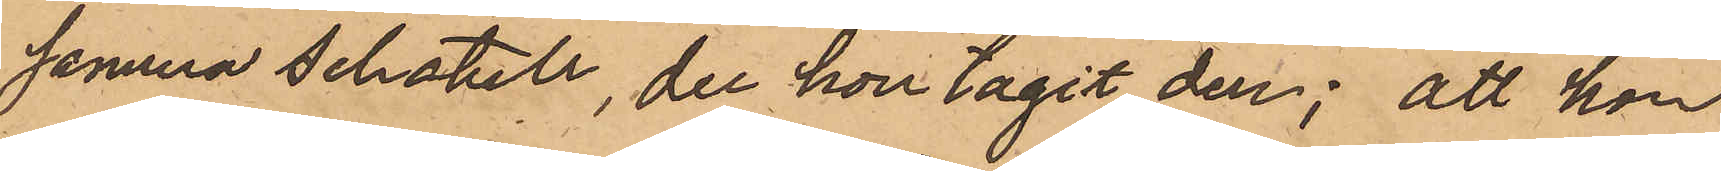samma schatull, der hon tagit den; att hon
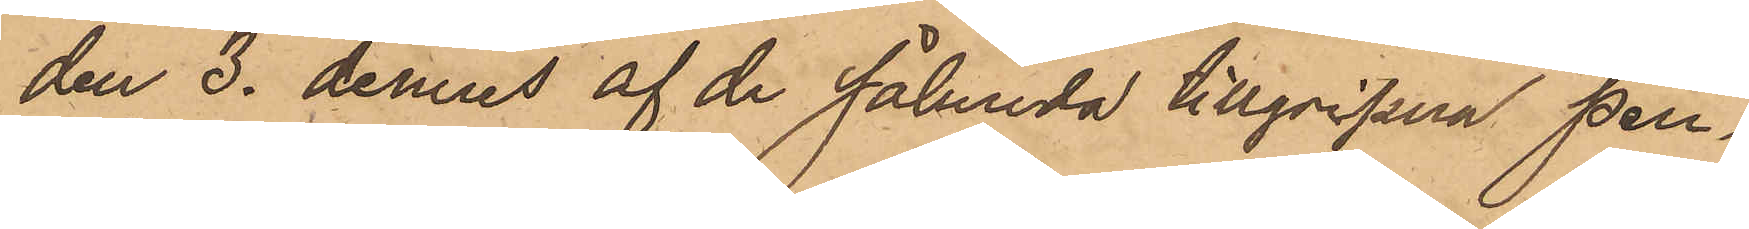den 3. dennes af de sålunda tillgripna pen¬
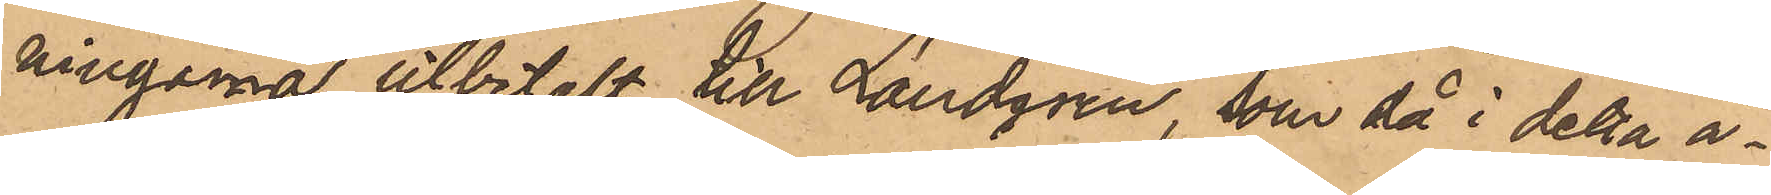ningarna utbetalt till Lundgren, som då i detta ä¬
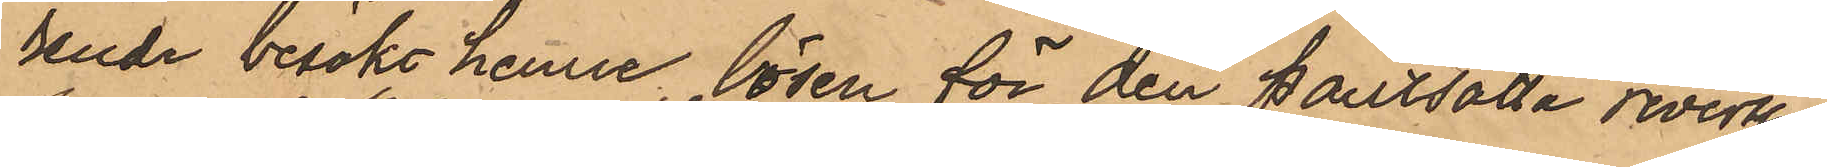rende besökt henne, lösen för den pantsatta reversar
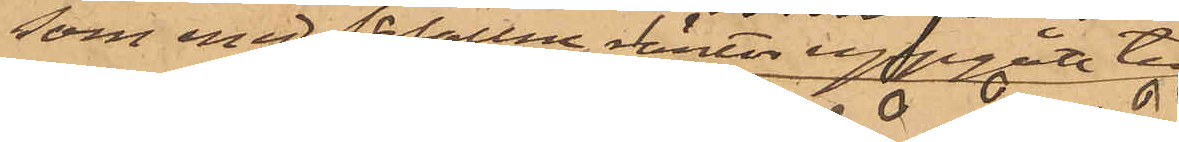som med förfallne vinter uppgått till
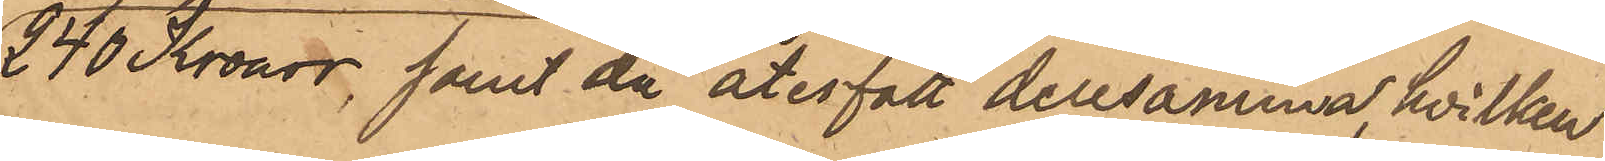240 Kronor, samt då återfått densamma, hvilken
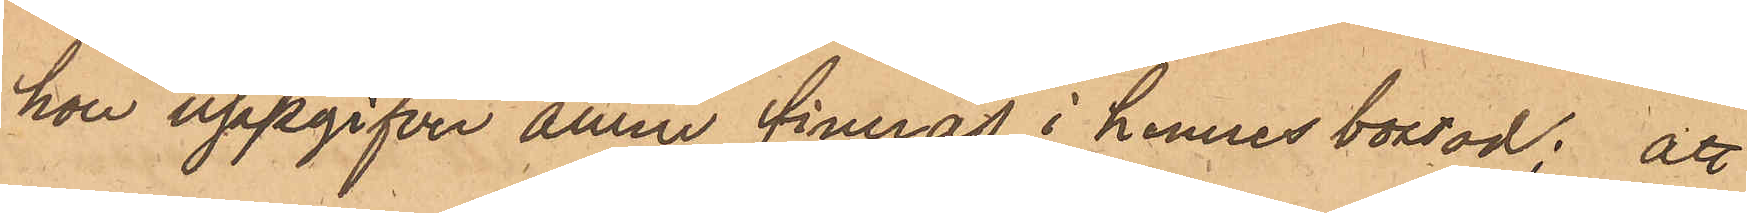hon uppgifver ännu finnas i hennes bostad; att
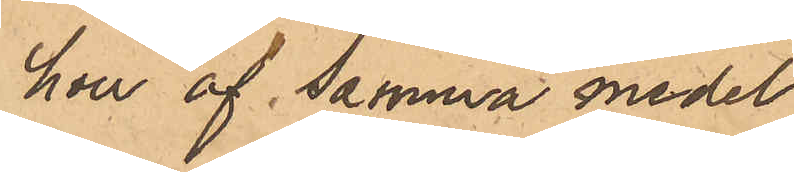hon af samma medel
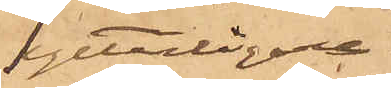ytterligare
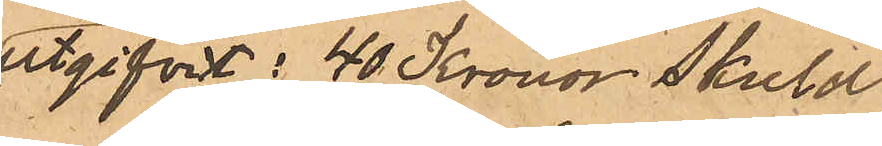utgifvit: 40 Kronor skuld
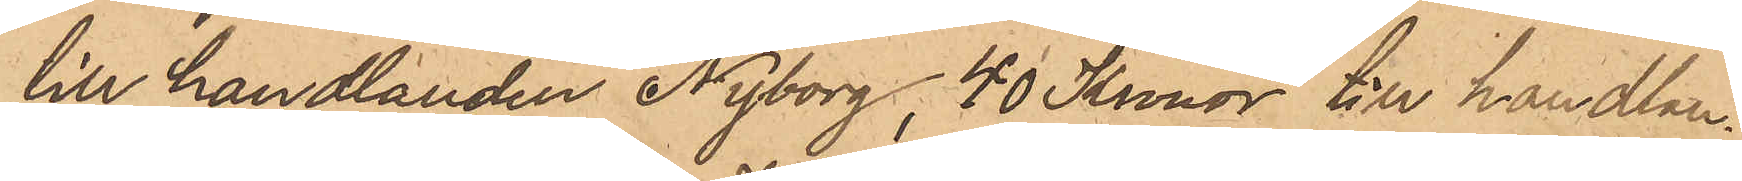till handlanden Nyborg, 40 Kronor till handlan¬
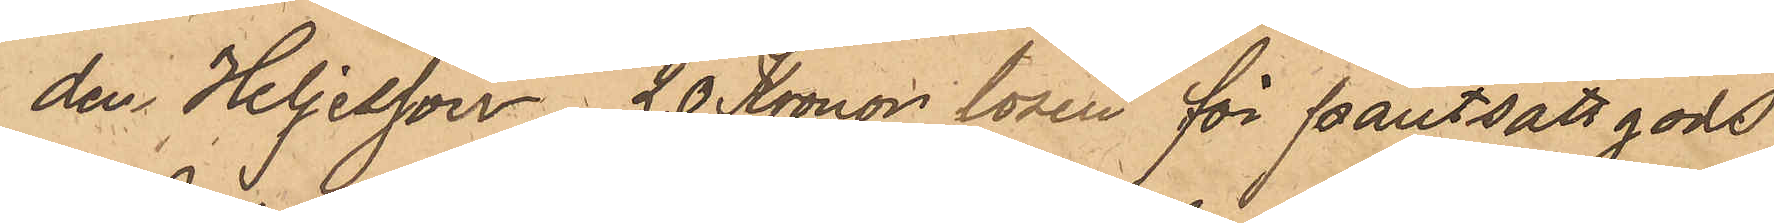den Heljesson, 20 Kronor lösen för pantsatt gods
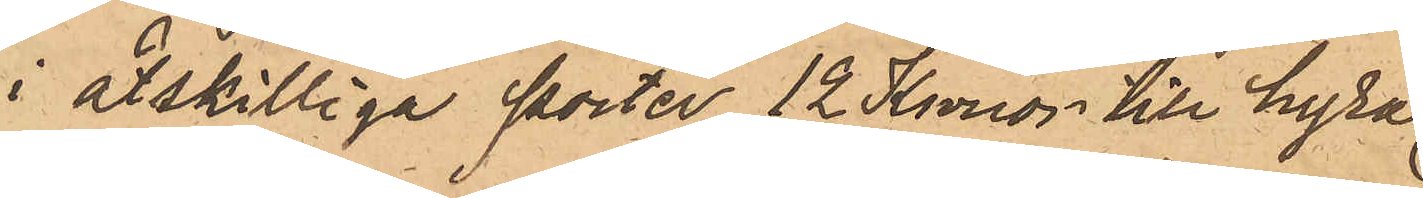i åtskilliga poster, 12 Kronor till hyra
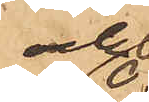och
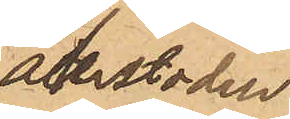återstoden
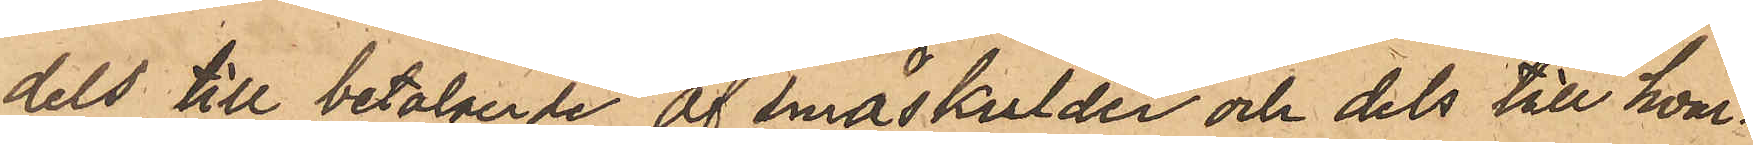dels till betalande af småskulder och dels till hvar¬
